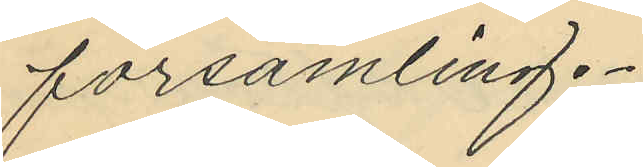församling.
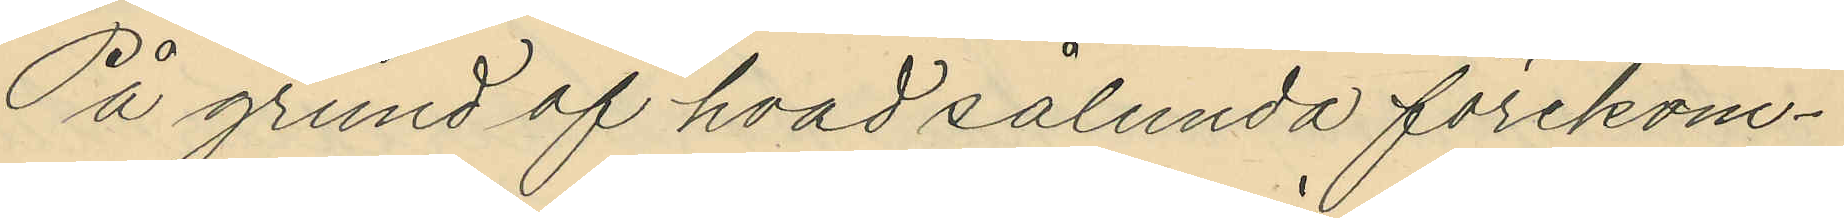På grund af hvad sålunda förekom¬
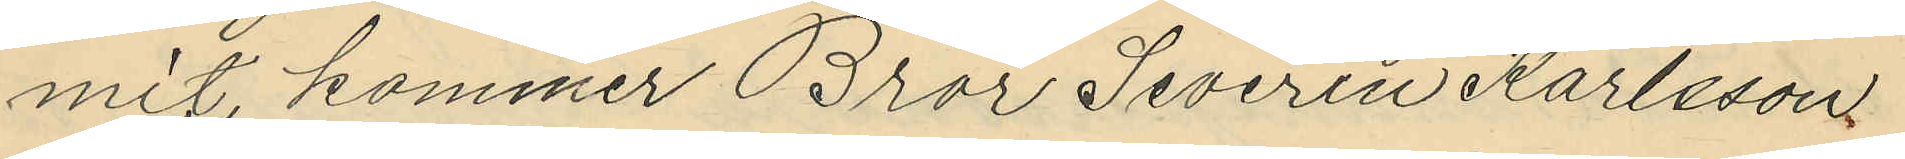mit, kommer Bror Severin Karlsson
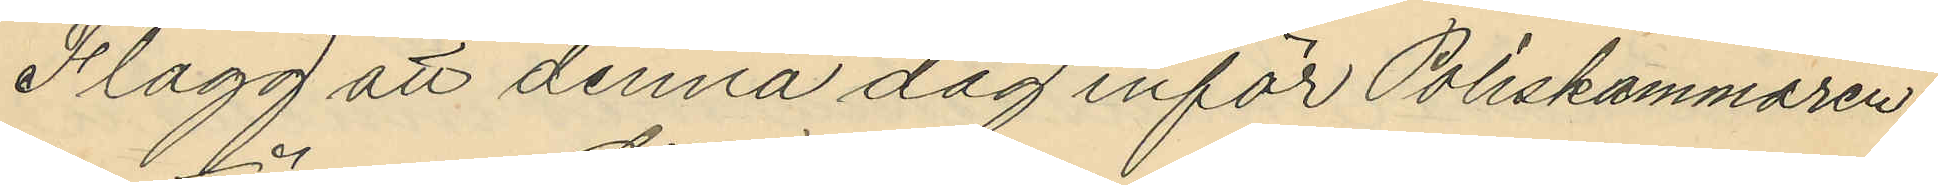Flagg att denna dag inför Poliskammaren
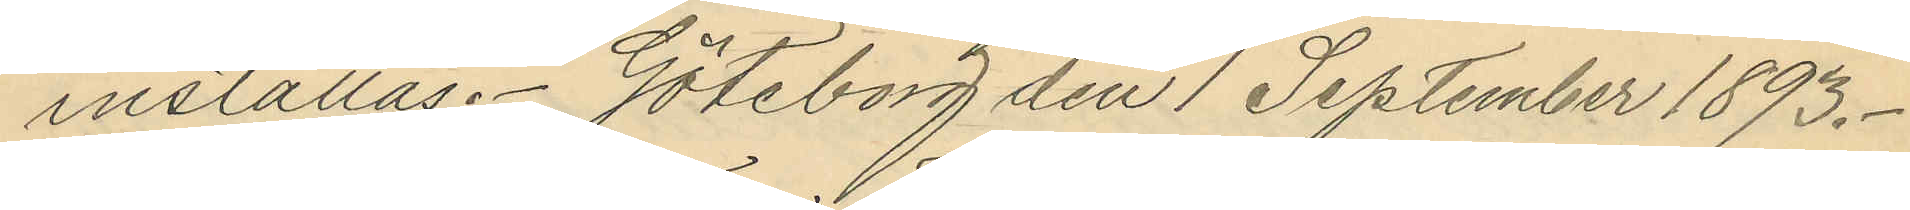inställas. Göteborg den 1 September 1893.
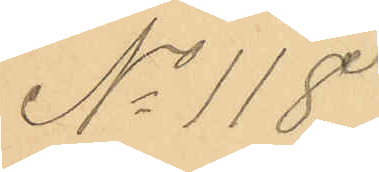No 118.
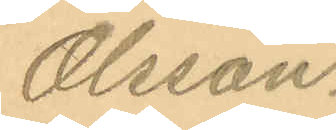Olsson.
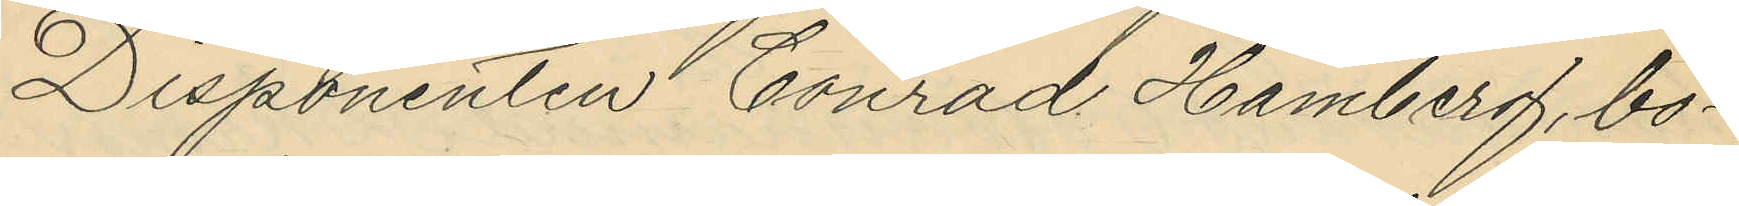Disponenten Conrad Hamberg, bo¬
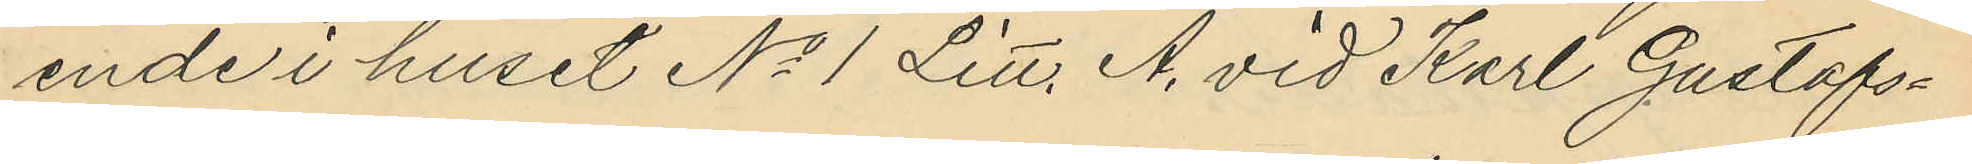ende i huset No 1 Litt. A. vid Karl Gustafs¬
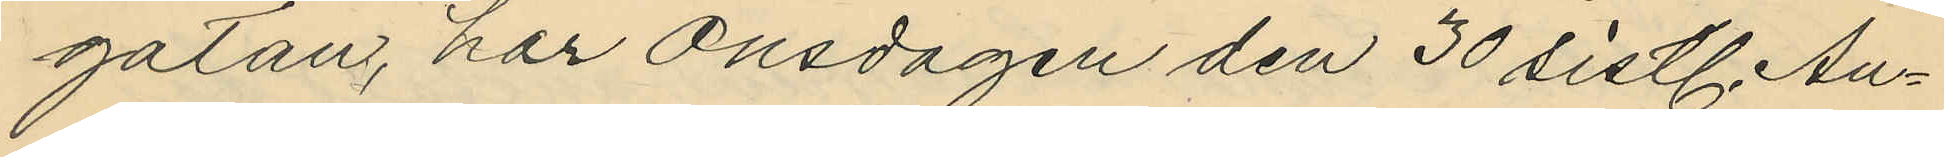gatan, har Onsdagen den 30 sistl. Au¬
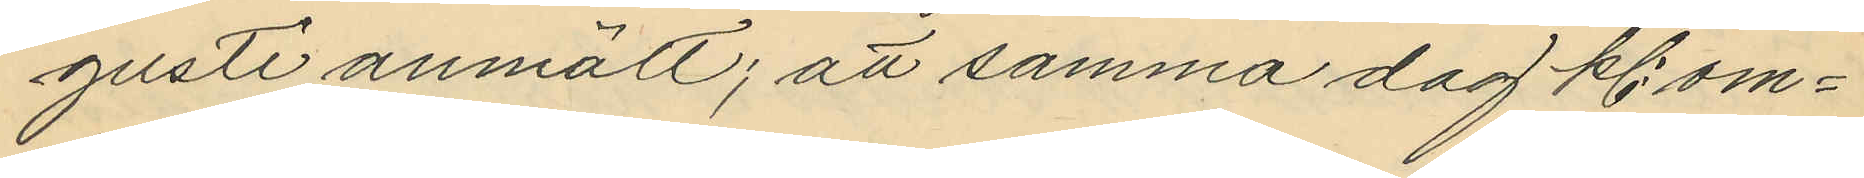gusti anmält; att samma dag kl. om¬
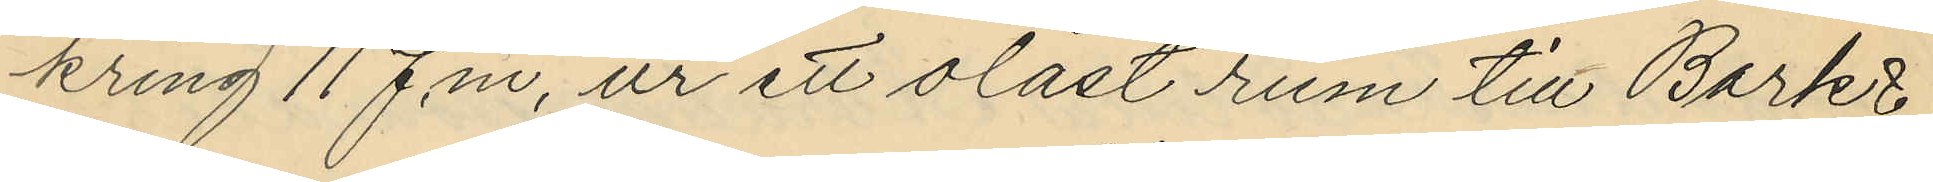kring 11 f.m. ur ett olåst rum till Bark
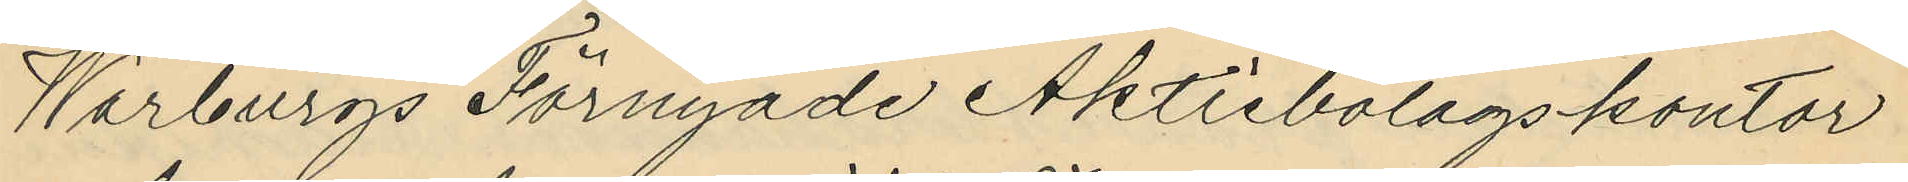Warburgs Förnyade Aktiebolagskontor
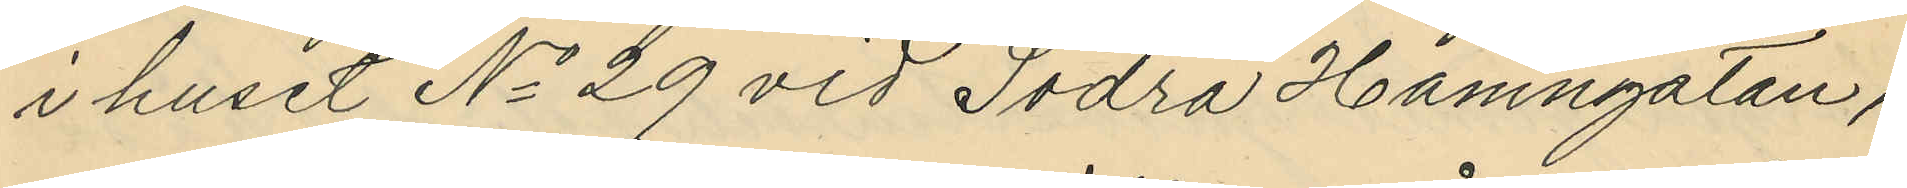i huset No 29 vid Södra Hamngatan,
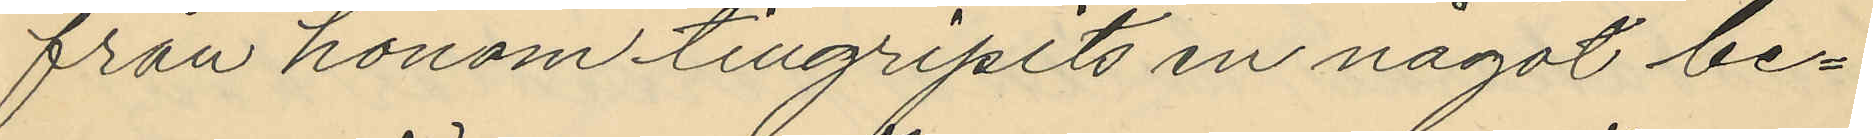från honom tillgripits en något be¬
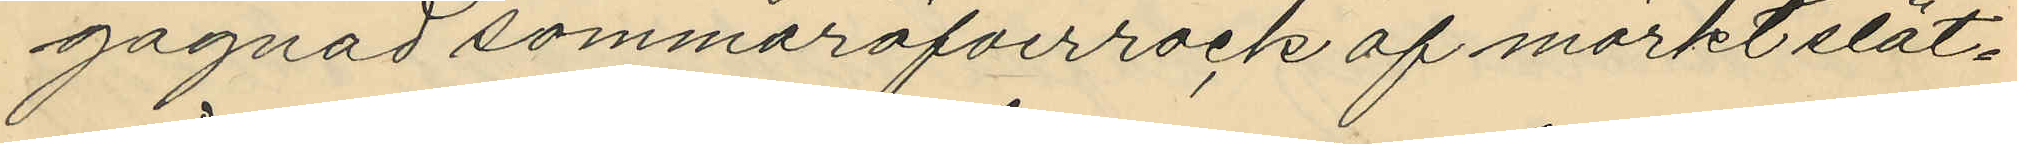gagnad sommaröfverrock af mörkt slät¬
